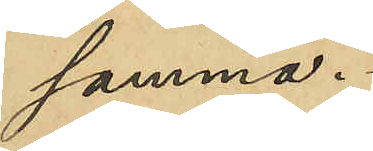samma.
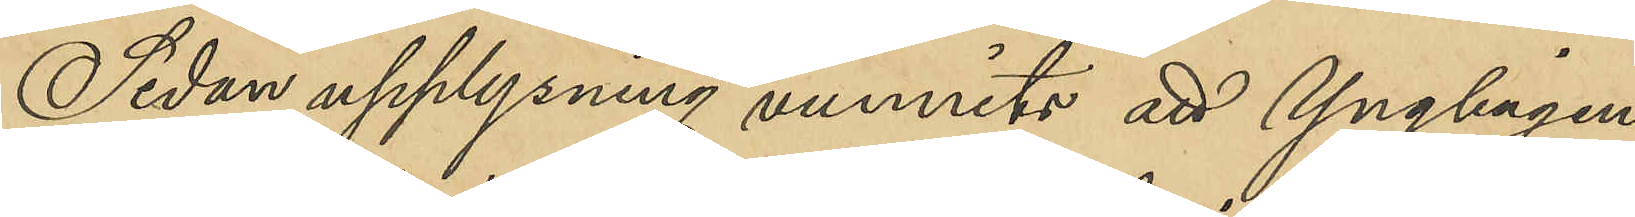Sedan upplysning vunnits att Ynglingen
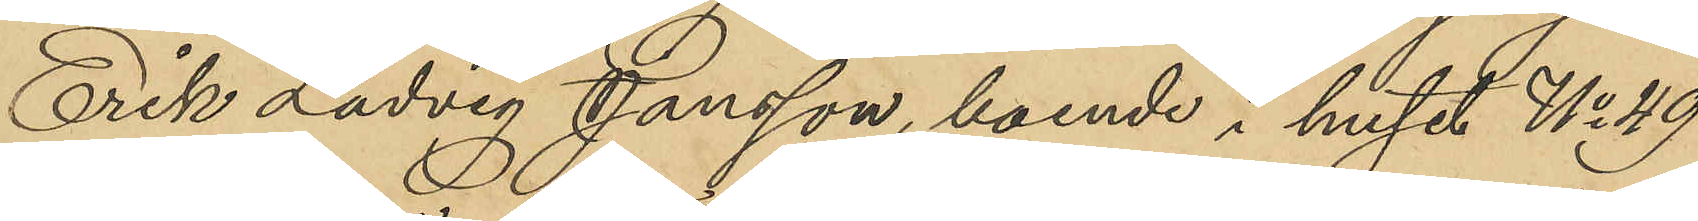Erik Ludvig Jansson, boende i huset No 49
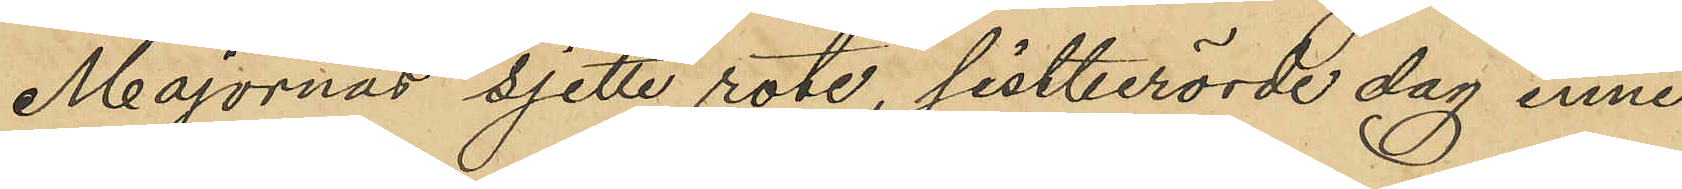Majornas sjette rote, sistberörde dag inne¬
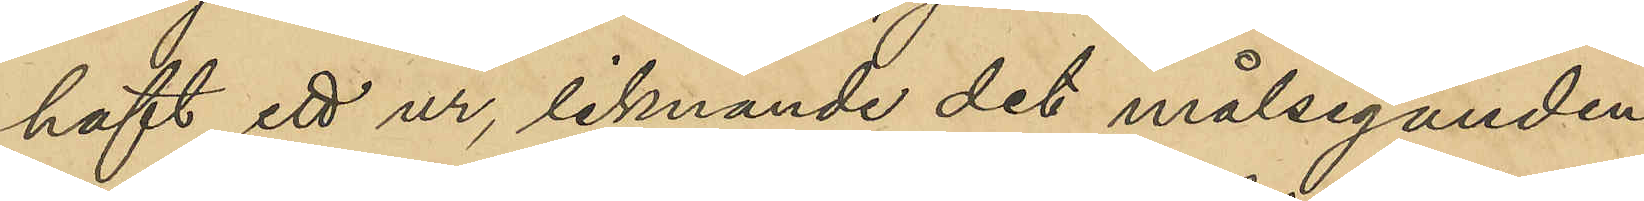haft ett ur, liknande det målseganden
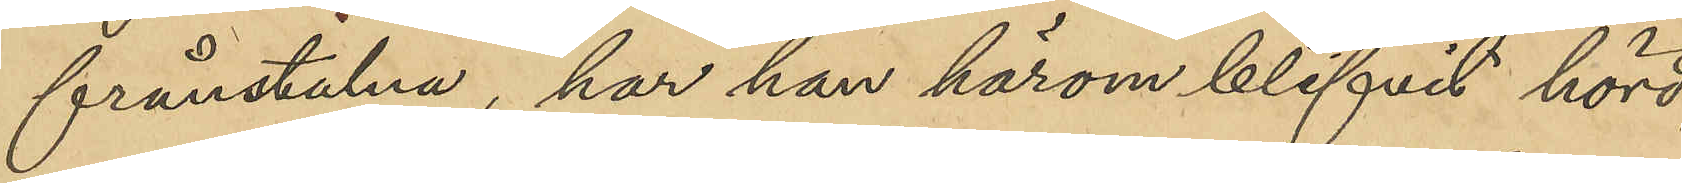frånstulna, har han härom blifvit hörd,
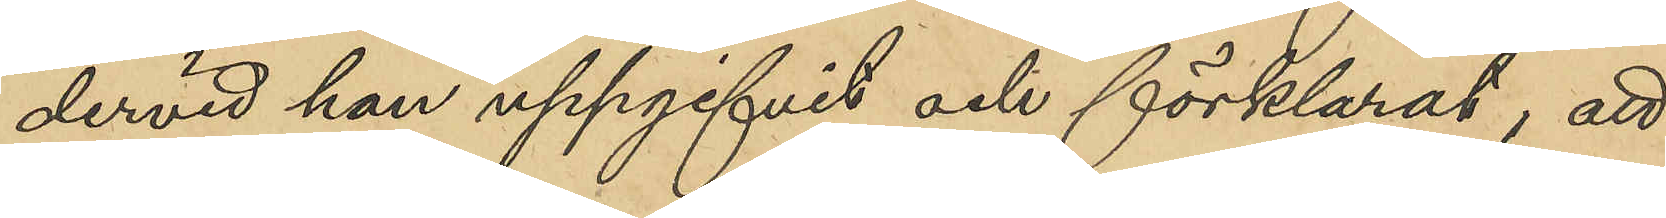dervid han uppgifvit och förklarat, att
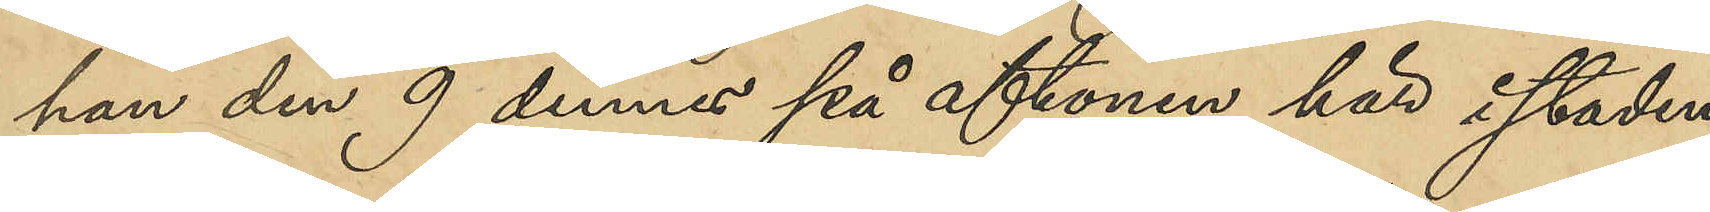han den 9 dennes på aftonen här i staden
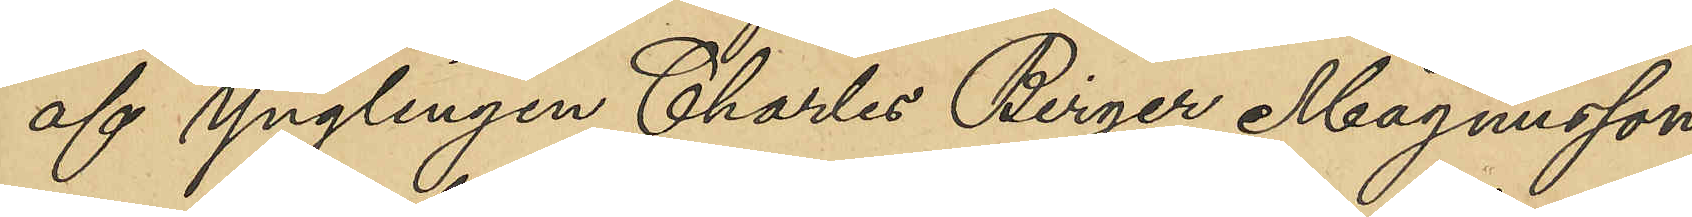af Ynglingen Charles Birger Magnusson,
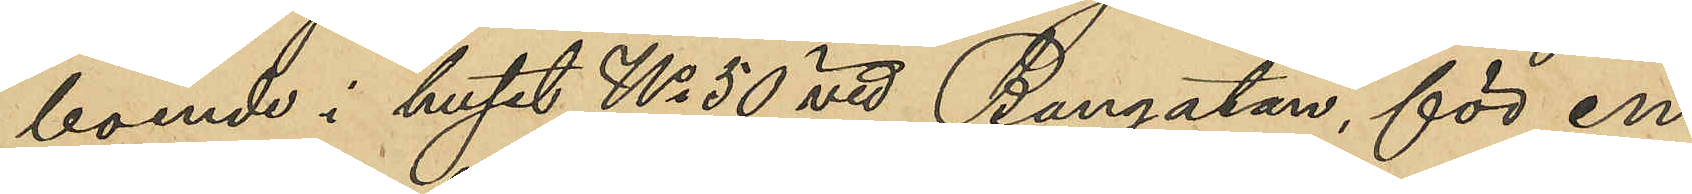boende i huset No 50 vid Bangatan, för en
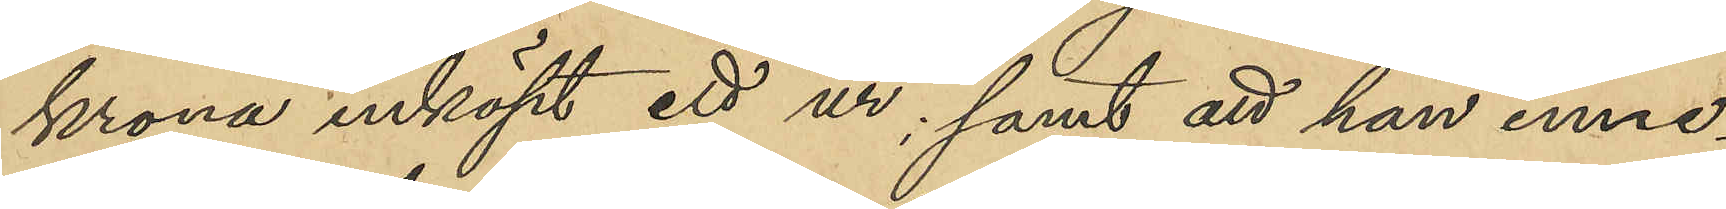krona inköpt ett ur; samt att han inne¬
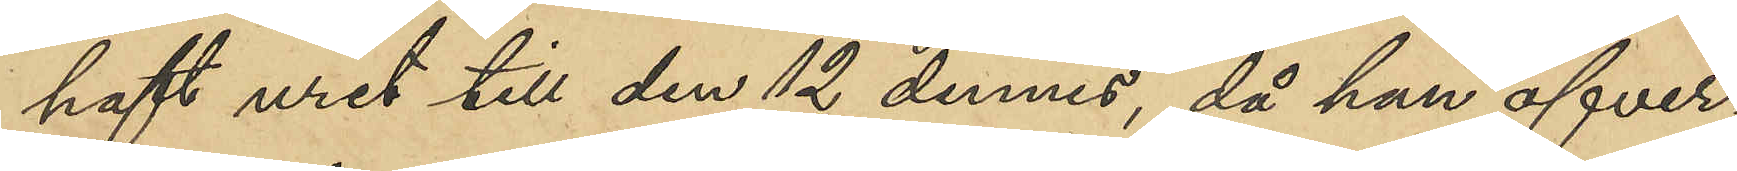haft uret till den 12 dennes, då han öfver¬
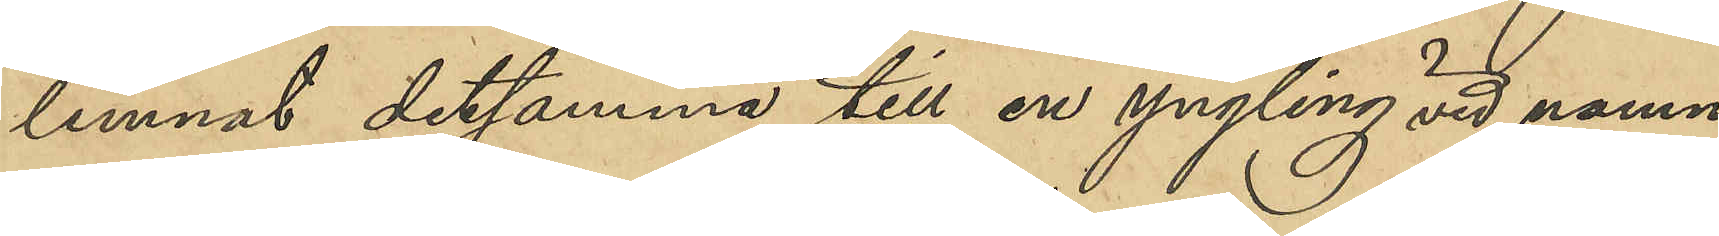lemnat detsamma till en yngling vid namn
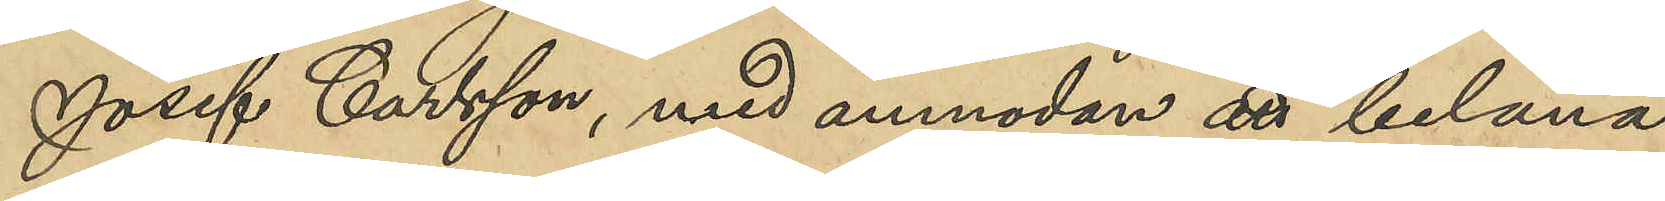Josef Carlsson, men anmodan att belåna
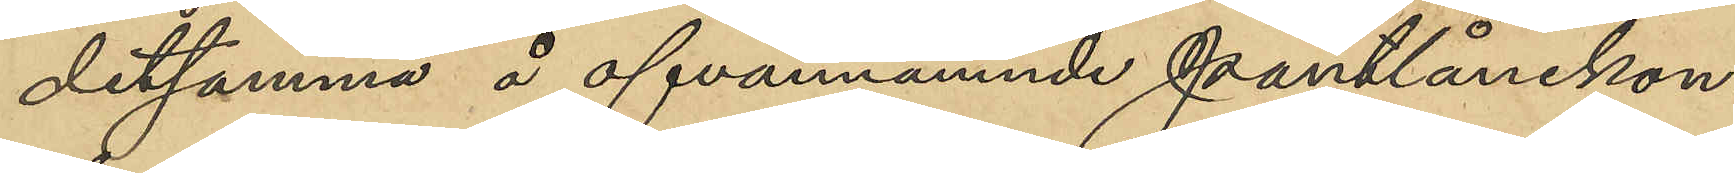detsamma å ofvannämnde pantlånekon¬
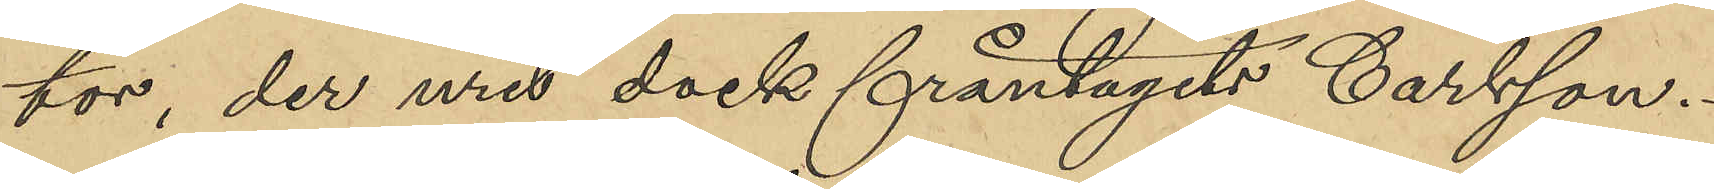tor, der uret dock fråntagits Carlsson.
